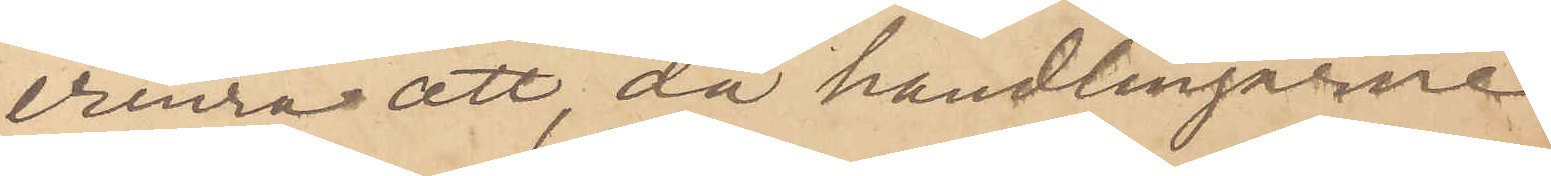erinra att, då handlingarne
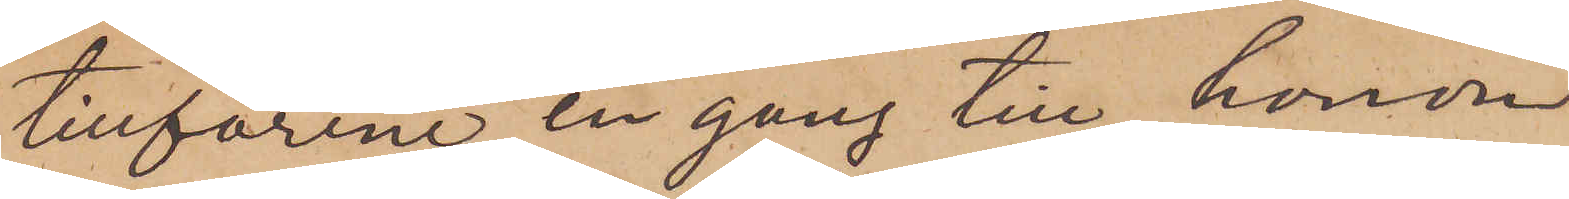tillförene en gång till honom
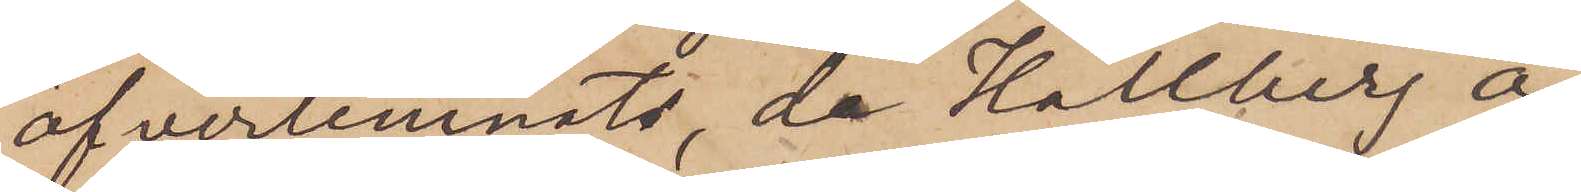öfverlemnats, de Hallberg å¬
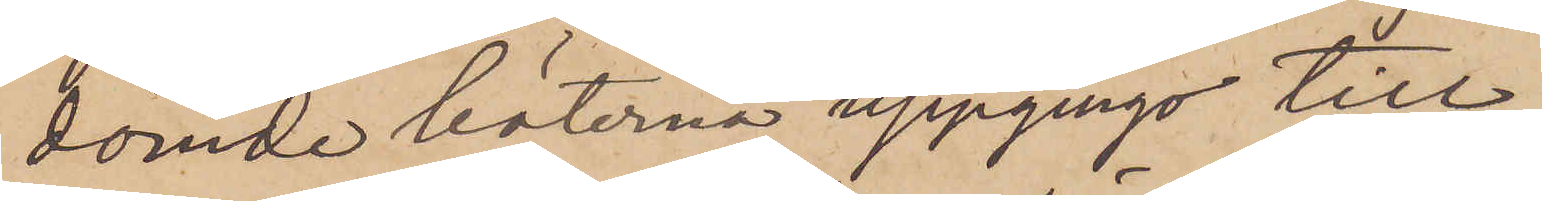dömde böterna uppgingo till
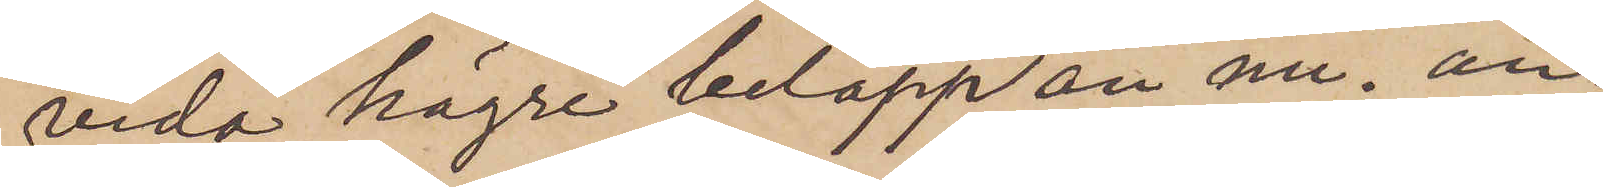vida högre belopp än nu; an¬
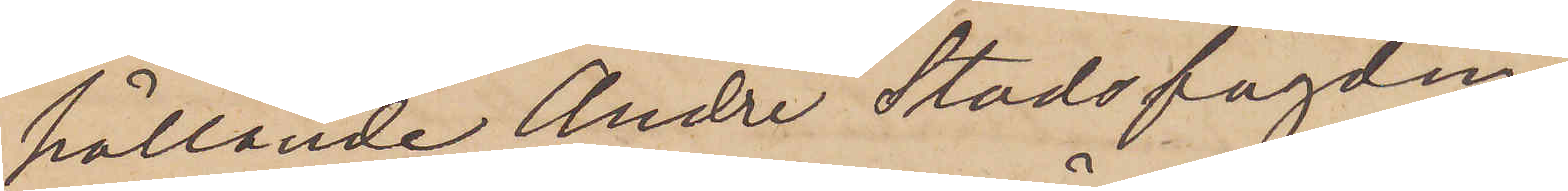hållande Andre Stadsfogden
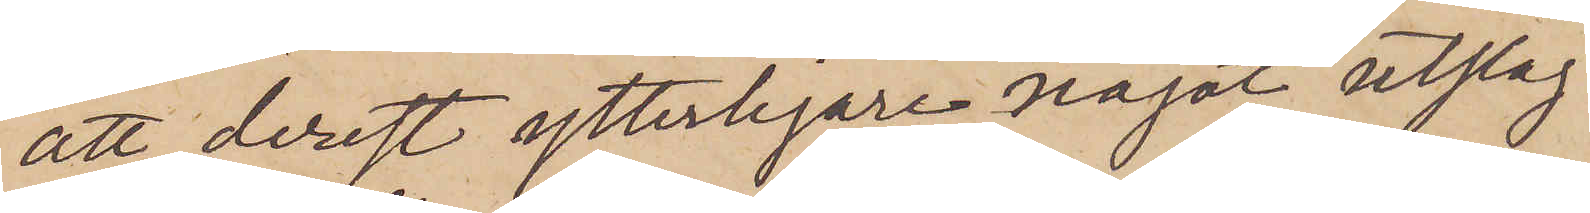att, derest ytterligare något utslag
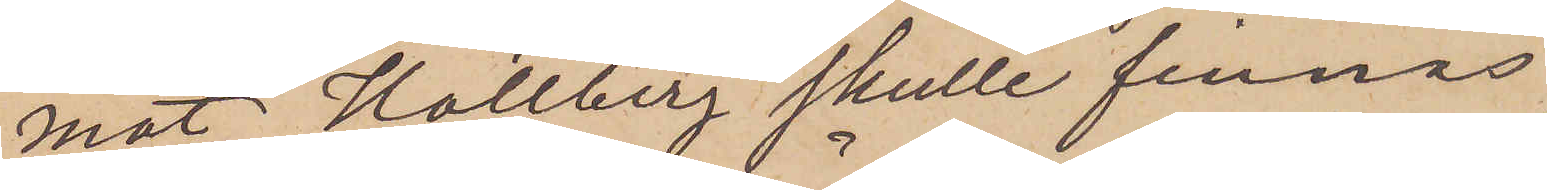mot Hallberg skulle finnas,
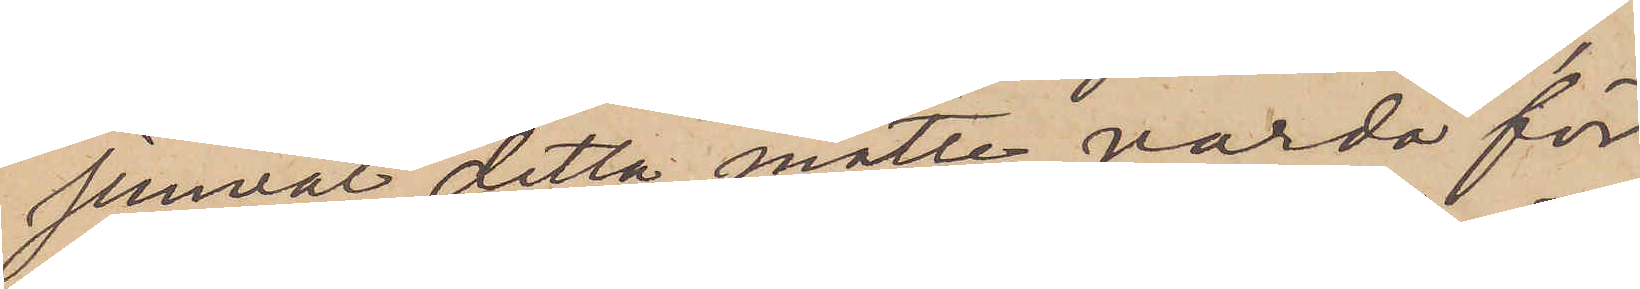jemväl detta måtte varda för
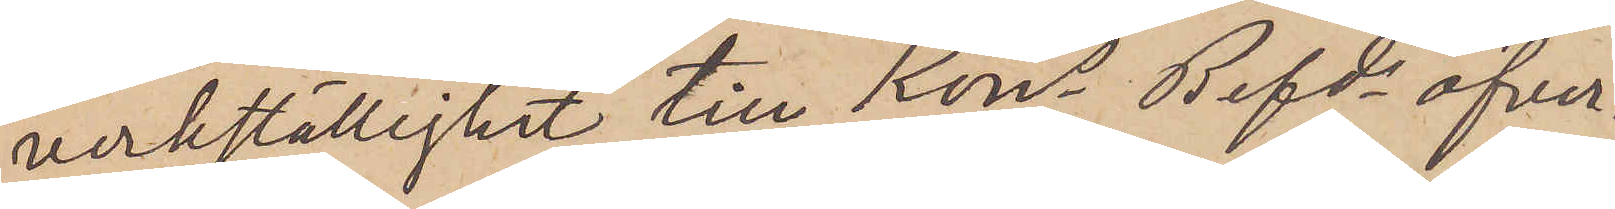verkställighet till Kons Befds öfver¬
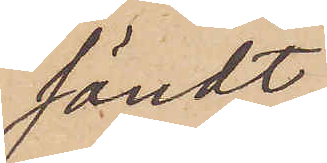sändt.
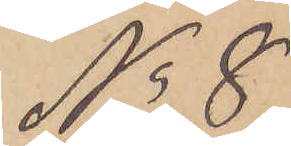No 8
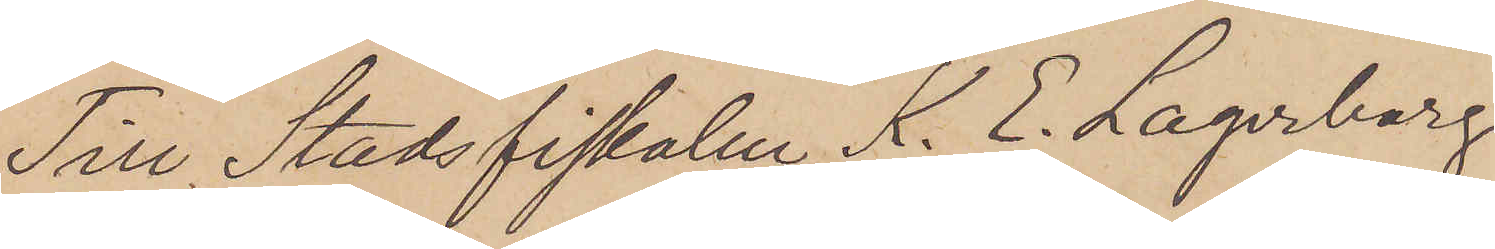Till Stadsfiskalen A. E. Lagerborg
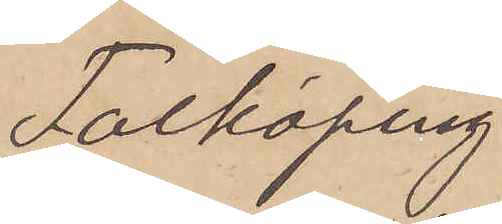Falköping
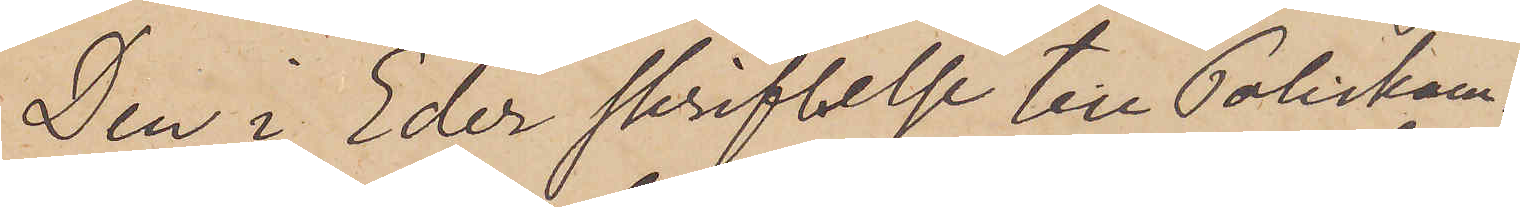Den i Eder skrifvelse till Poliskam¬
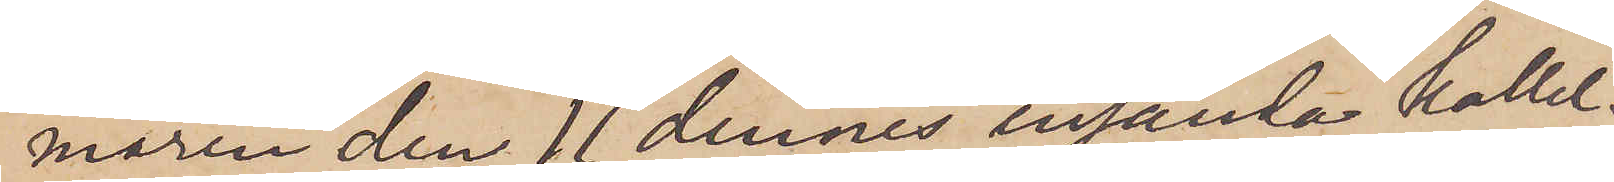maren den 11 dennes insända kallel¬
